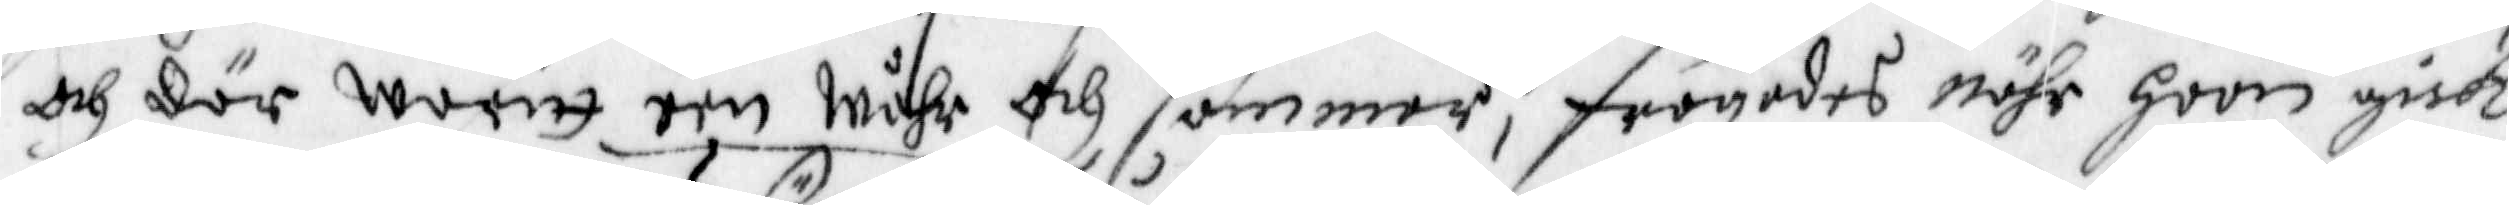och där waritt een wåhr och sommer, frågades nähr hoon gick
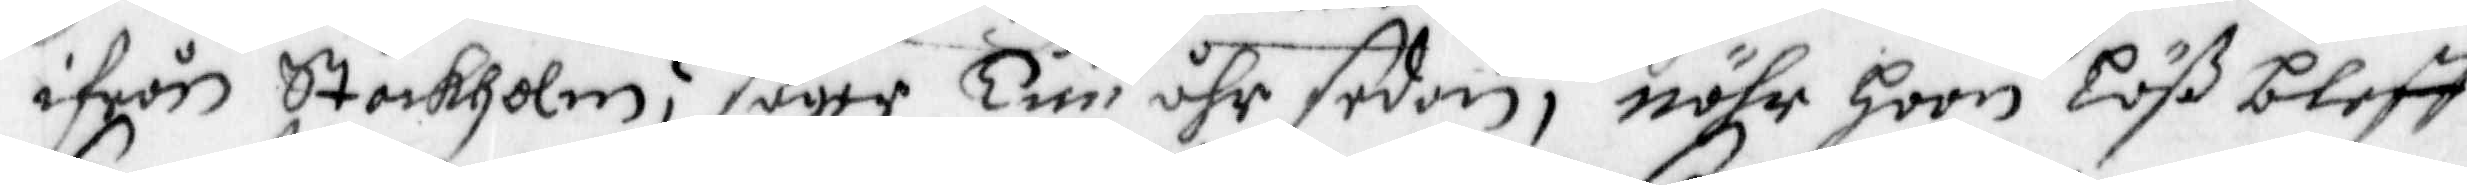ifrån Stockholm, säger Tuu åhr sedan, nähr hoon Löß bleff
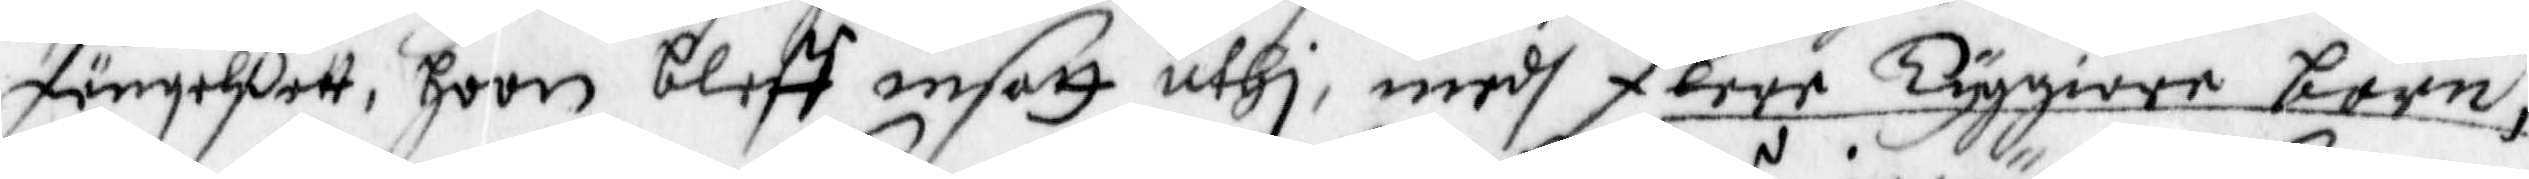fängelßett, hoon bleff insatt uthi, medh flere Tyggiare barn,
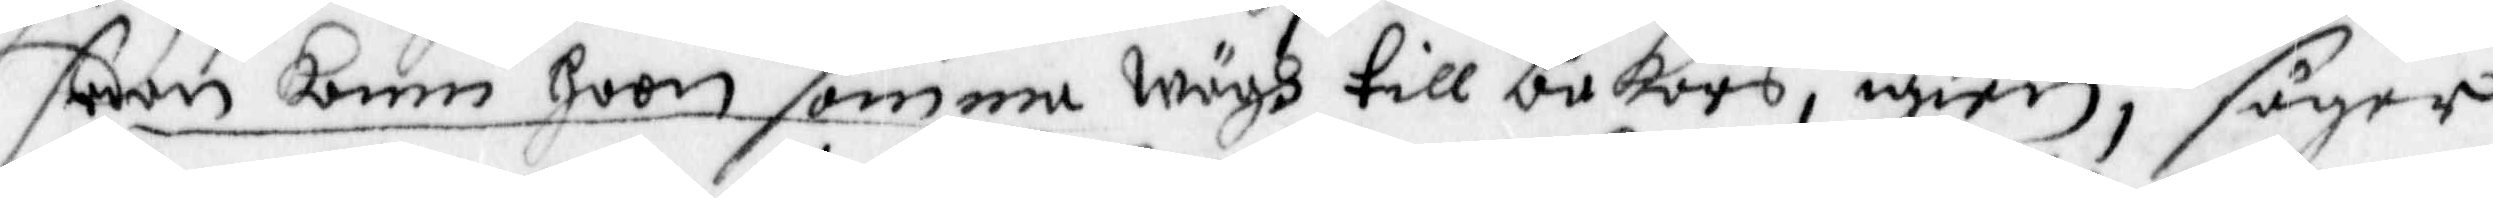sedan kom hoon samma wägh till bakars, igien, säger
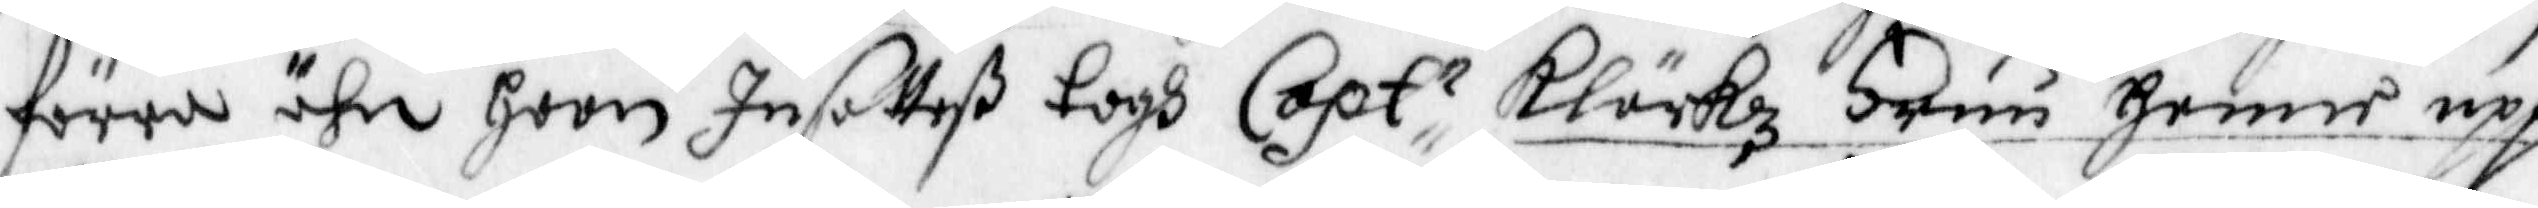förre ähn hoon Insatteß togh Captr Klärkz Fruu Henne upp
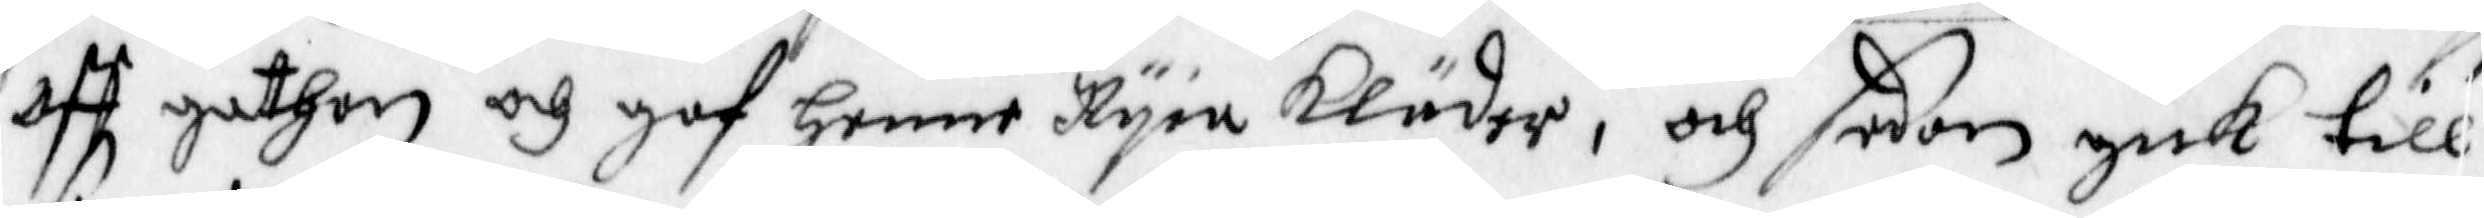aff gathan och gaf Henne Nyia kläder, och sedan gick till
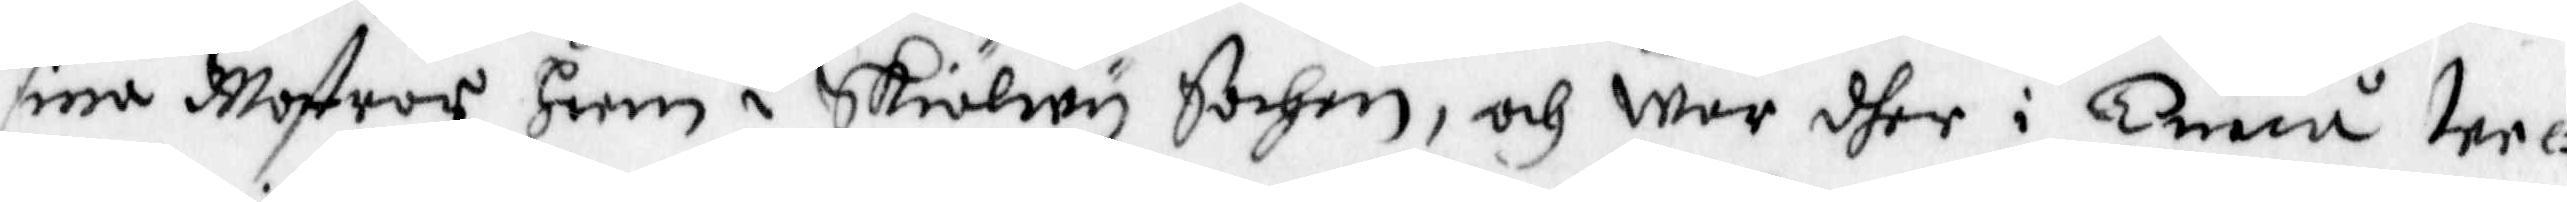sina Mostrar heem i Skiällwy Sochen, och war dher i Twåå we¬
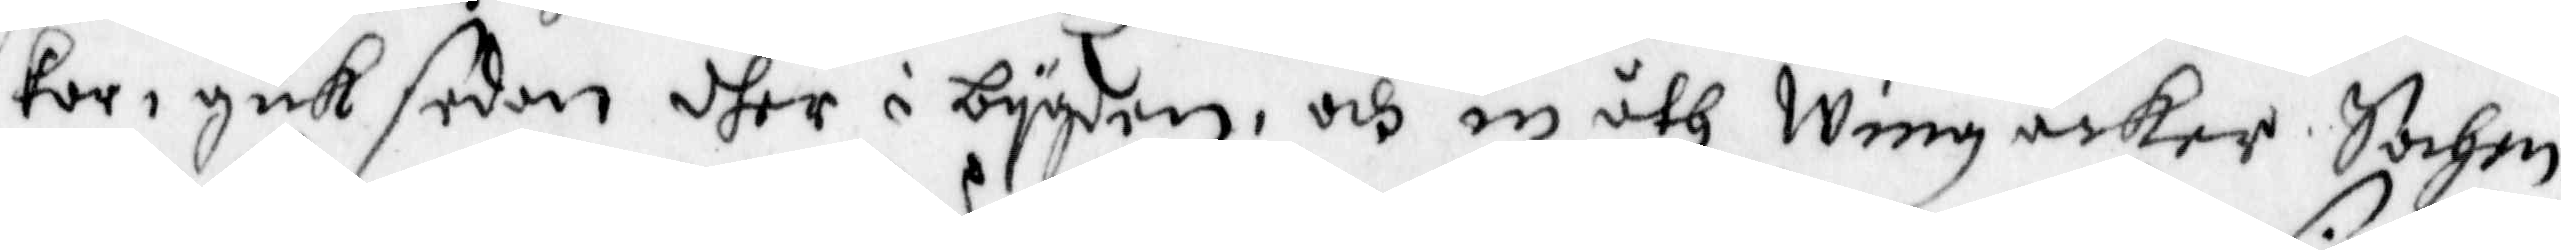kor, gick sedan dher i bygden, och in åth Wingåcker Sochn
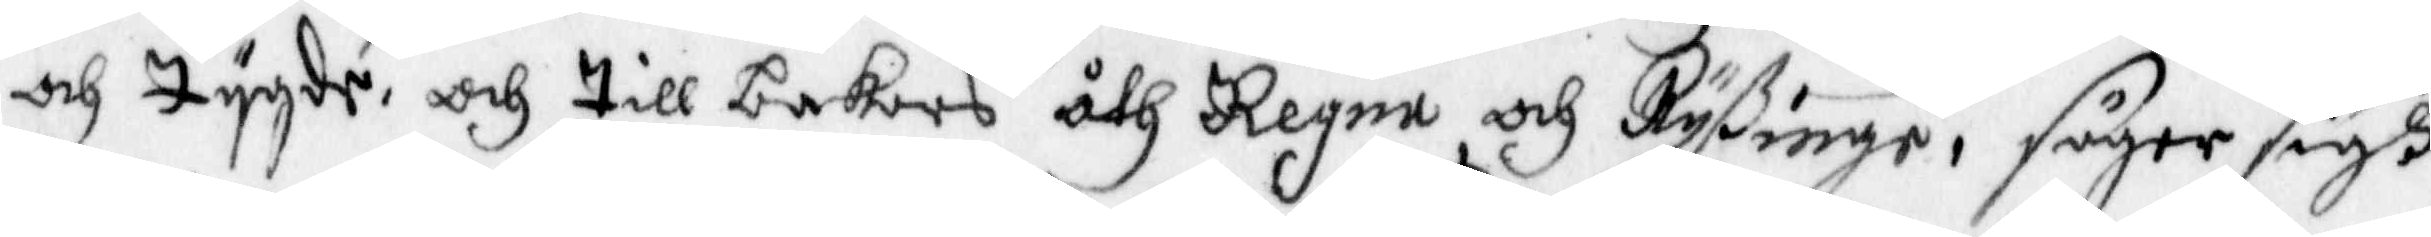och tygde, och till bakars åth Regna och Ryßinge, säger sigh
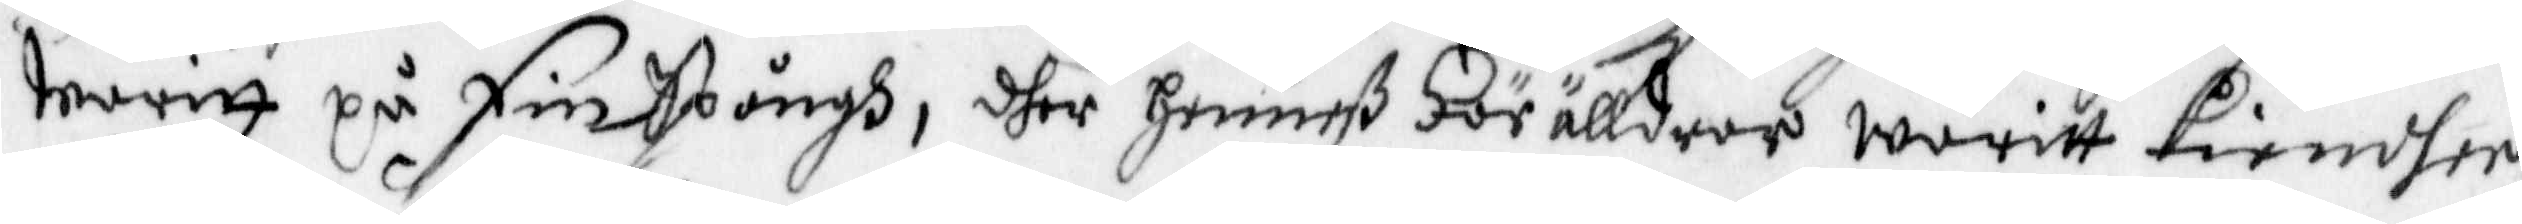warit på FinSpångh, dher henneß Förälldrar waritt kiendher
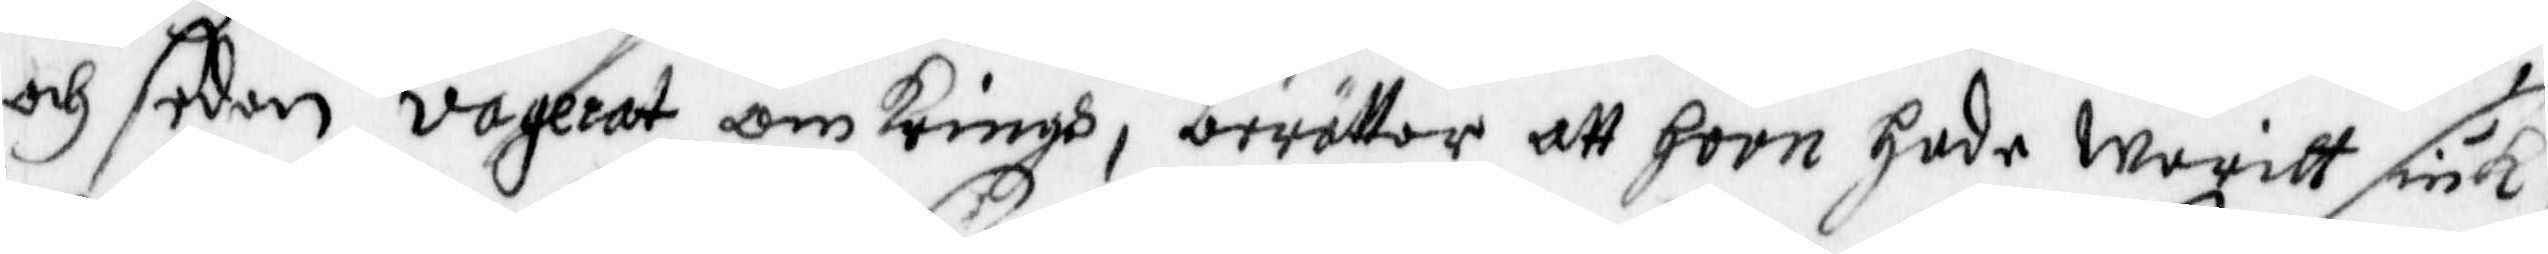och sedan vagerat omkringh, berättar att hoon hade waritt siuk,
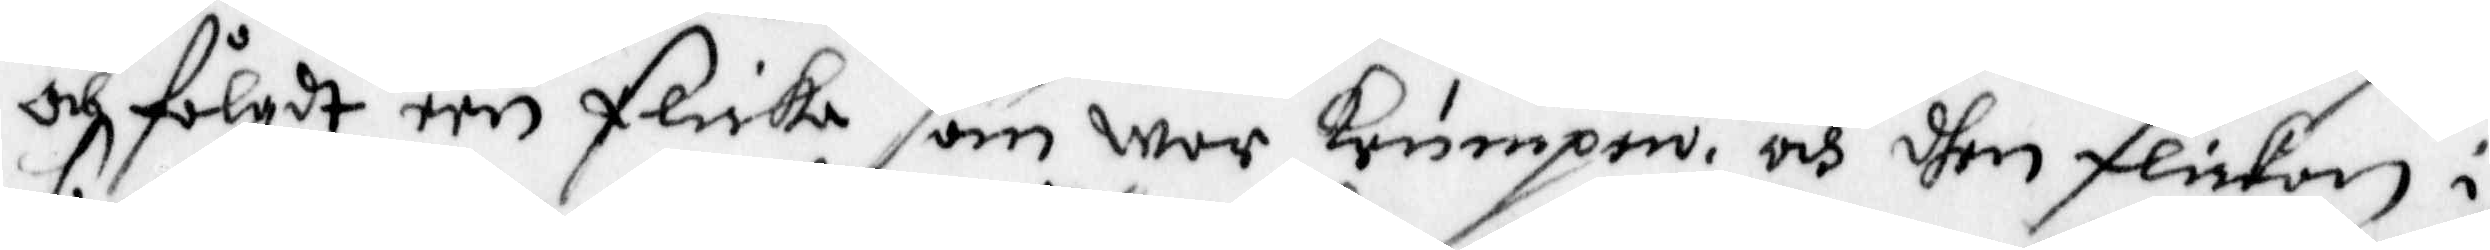och fölgdt een flicka som war krumpen, och dhen flickan i
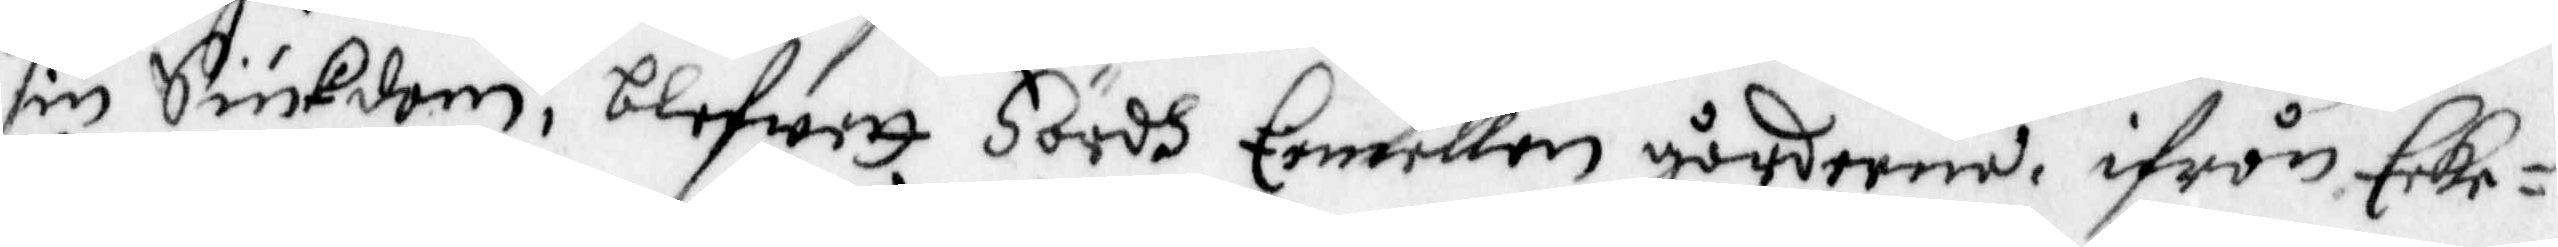sin Siukdom, blefwett Fördh Eemellan gårderne, ifrån Eeke¬
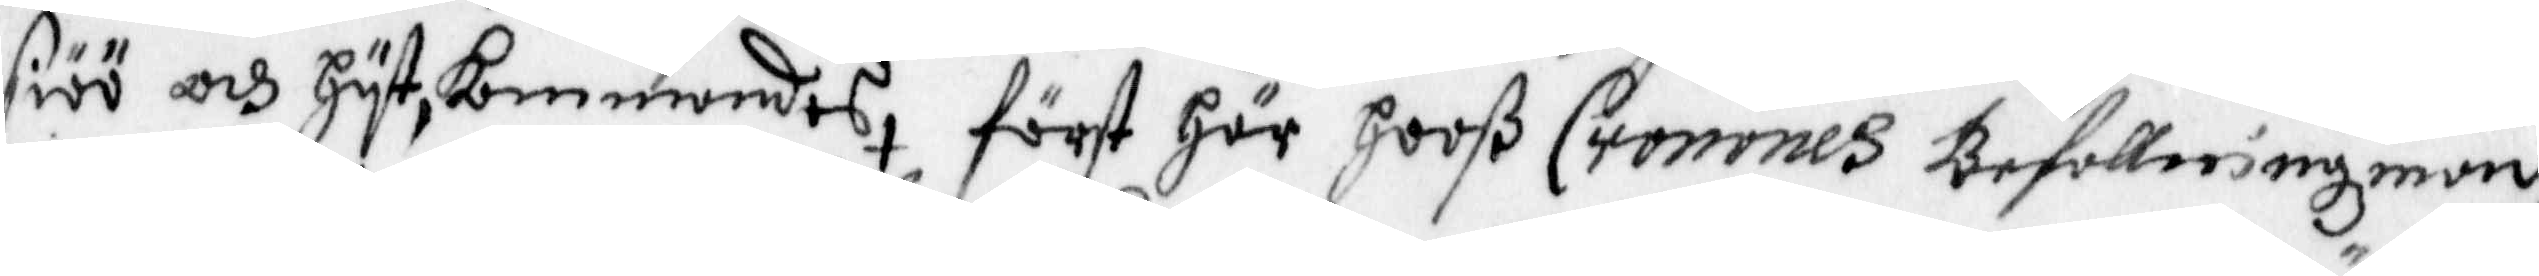siöö och hytkommandes, först Här hooß Cronones Befallningzman,
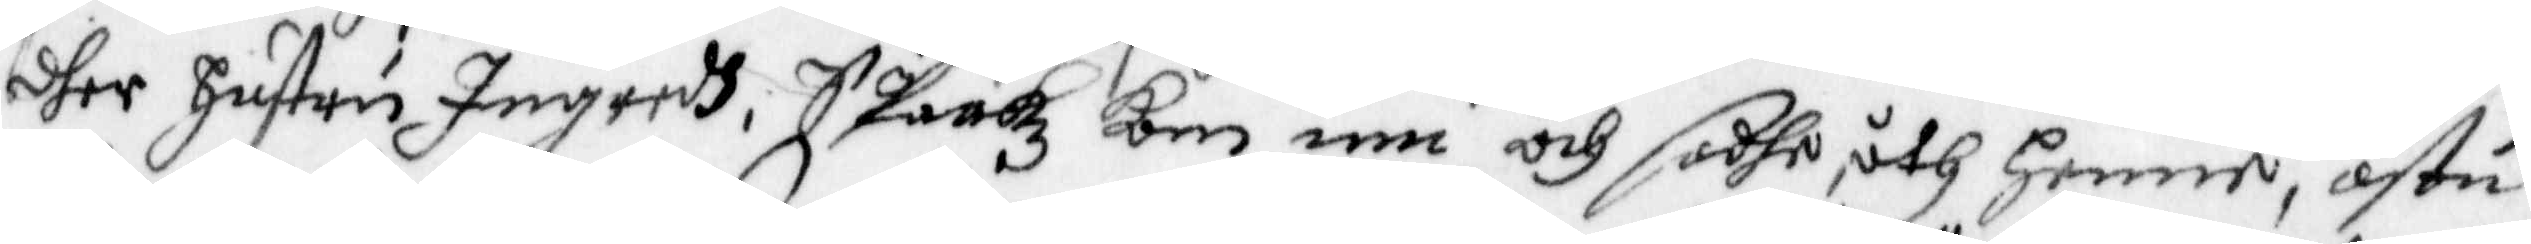dher Hustru Ingredh, Spaakz kon inn och sadhe åth henne, ästu
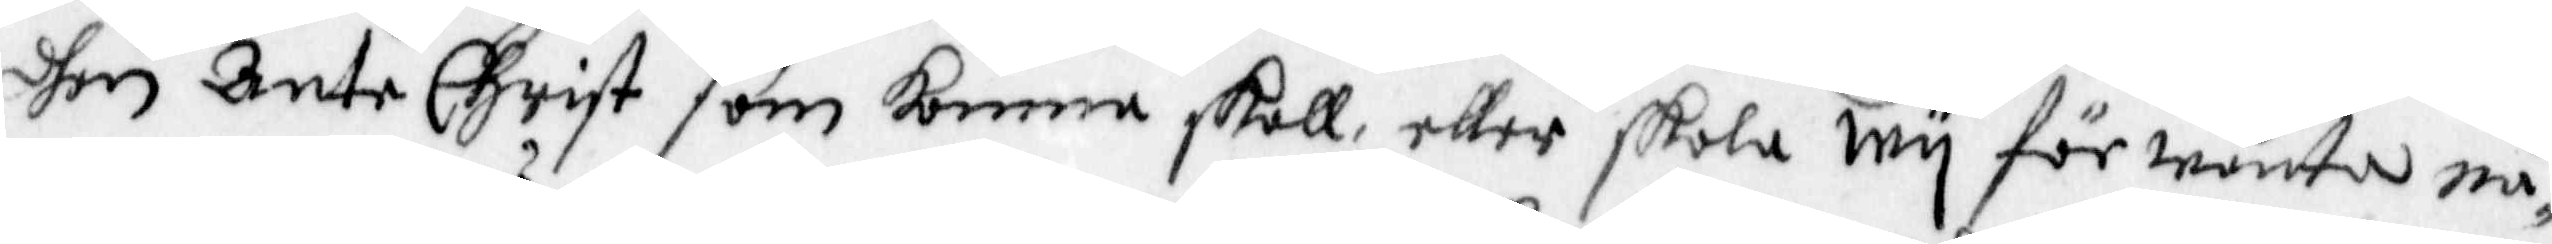dhen Ante Christ som komma skall, eller skola wy förwänta nå¬
